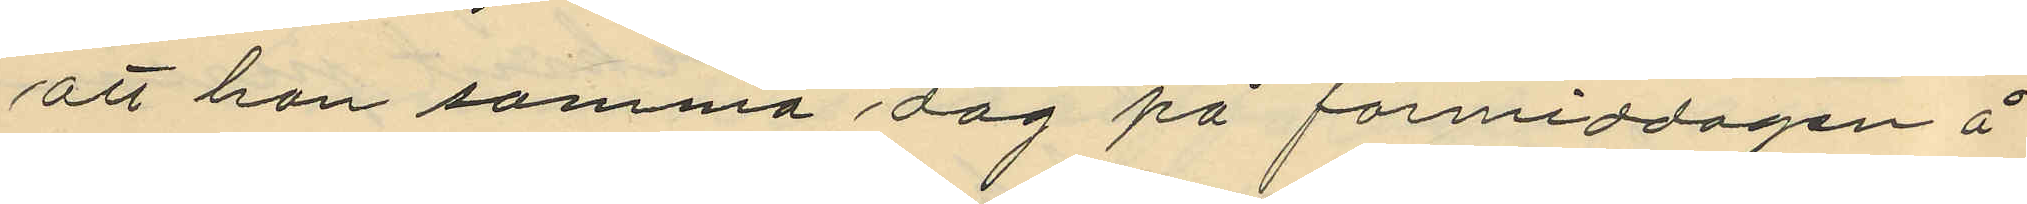att han samma dag på förmiddagen å
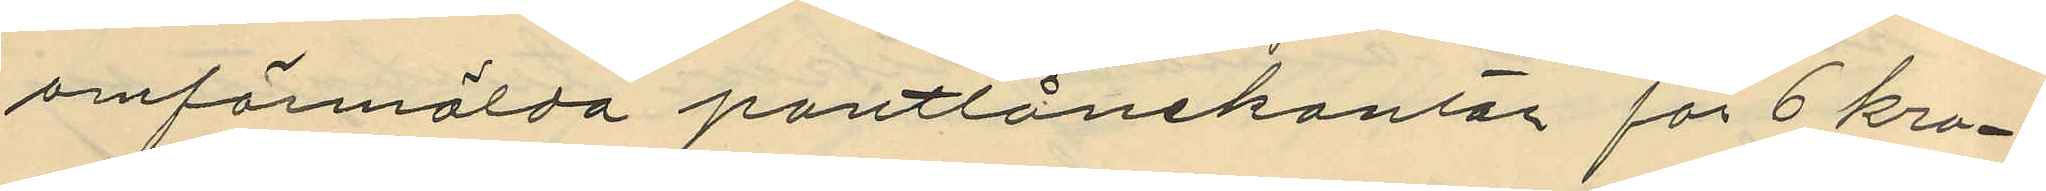omförmälda pantlånekontor för 6 kro¬
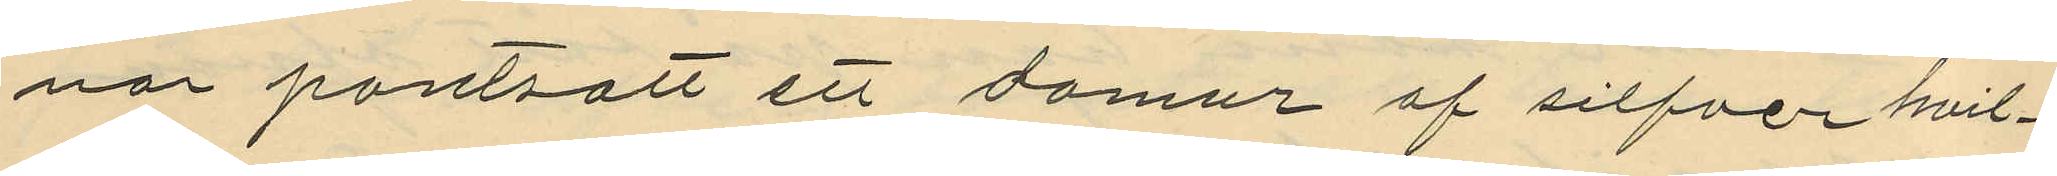nor pantsatt ett damur af silfver hvil¬
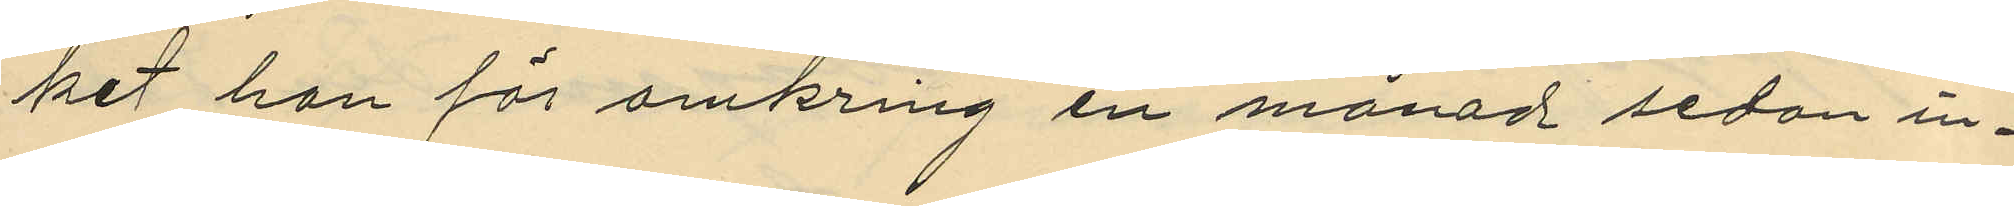ket han för omkring en månad sedan in¬
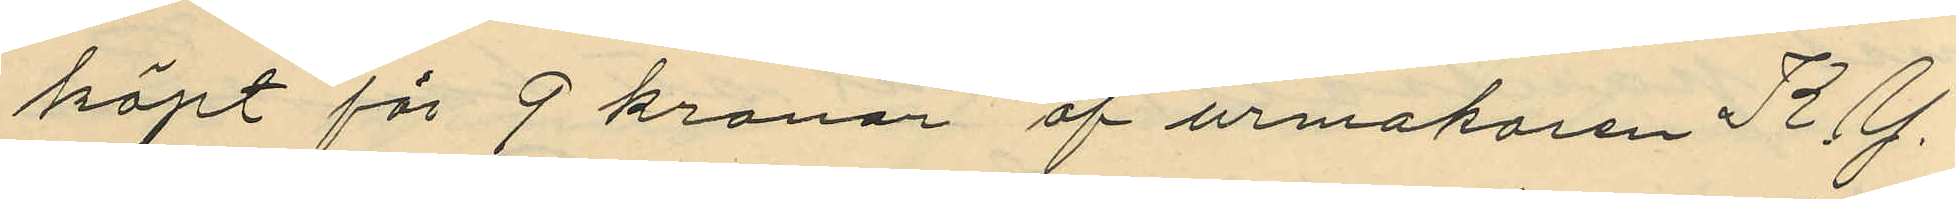köpt för 9 kronor af urmakaren K. G.
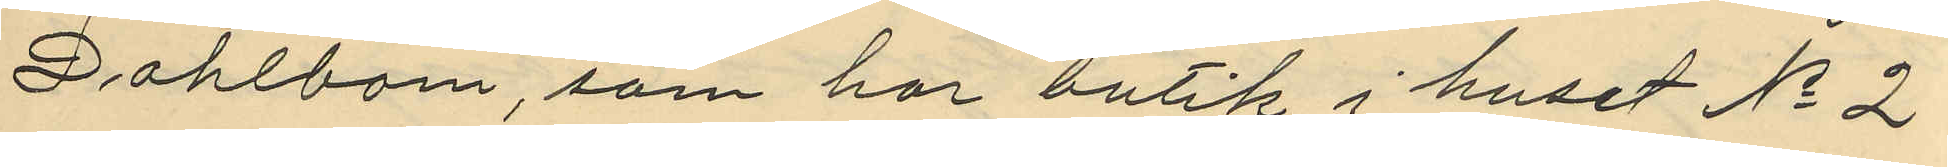Dahlbom, som har butik i huset No 2
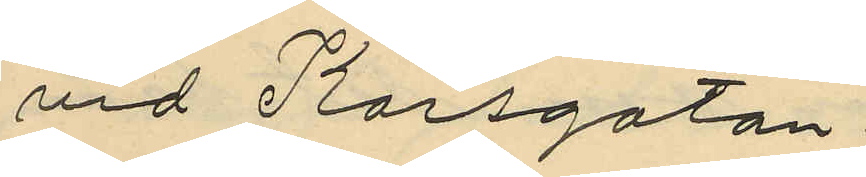vid Korsgatan.
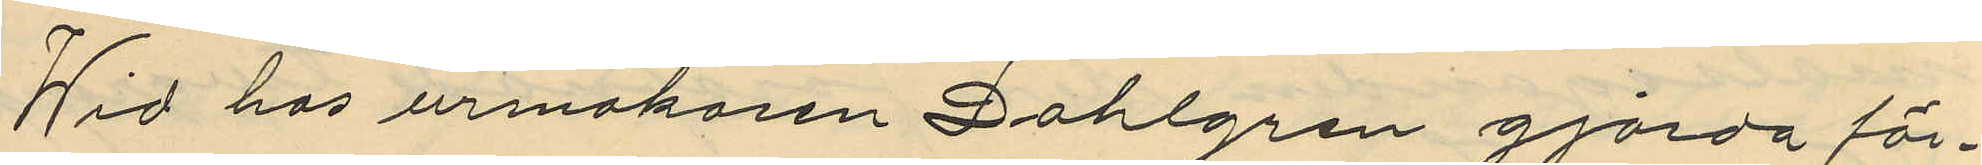Wid hos urmakaren Dahlgren gjorda för¬
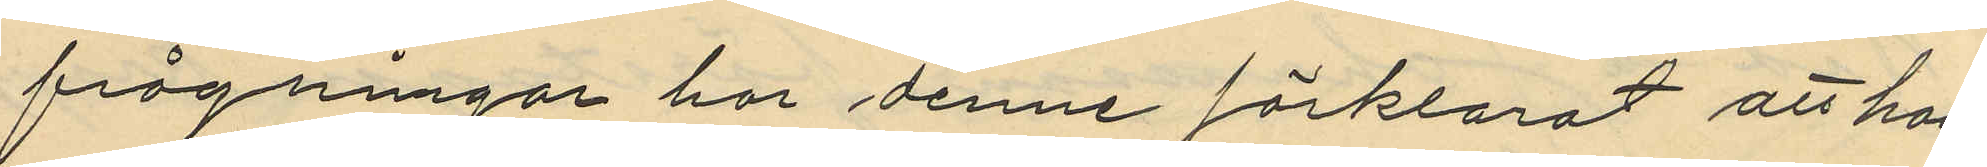frågningar har denne förklarat att han
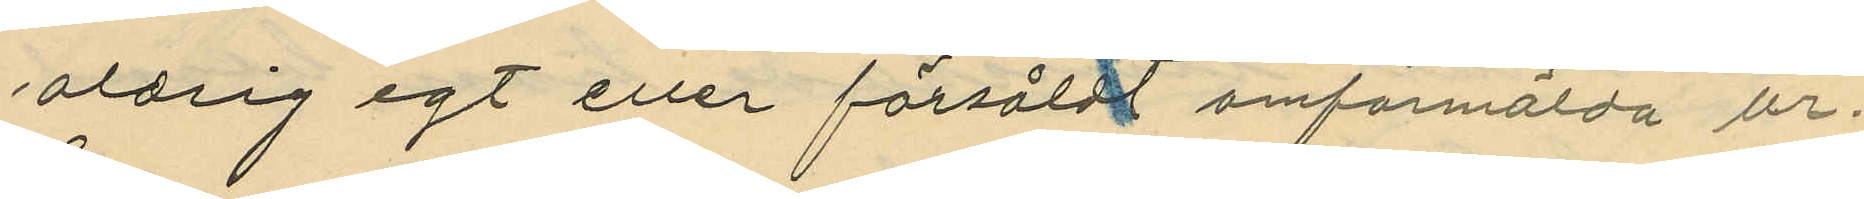aldrig egt eller försåldt omförmälda ur.
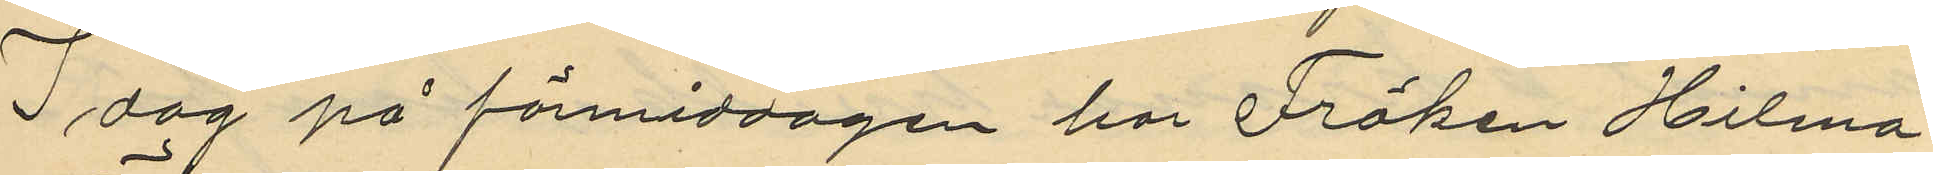I dag på förmiddagen har Fröken Hilma
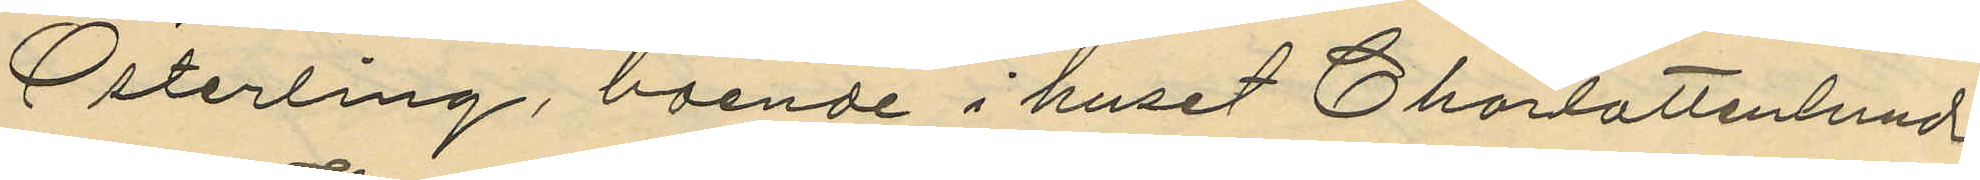Österling, boende i huset Charlottenlund
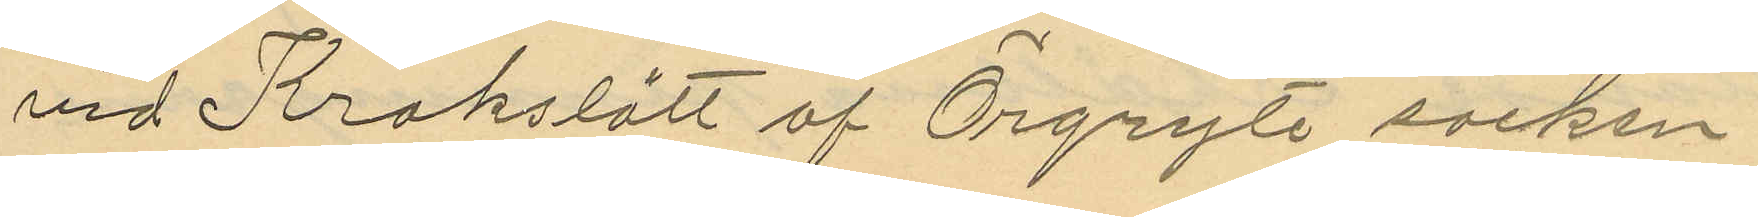vid Krokslätt af Örgryte socken
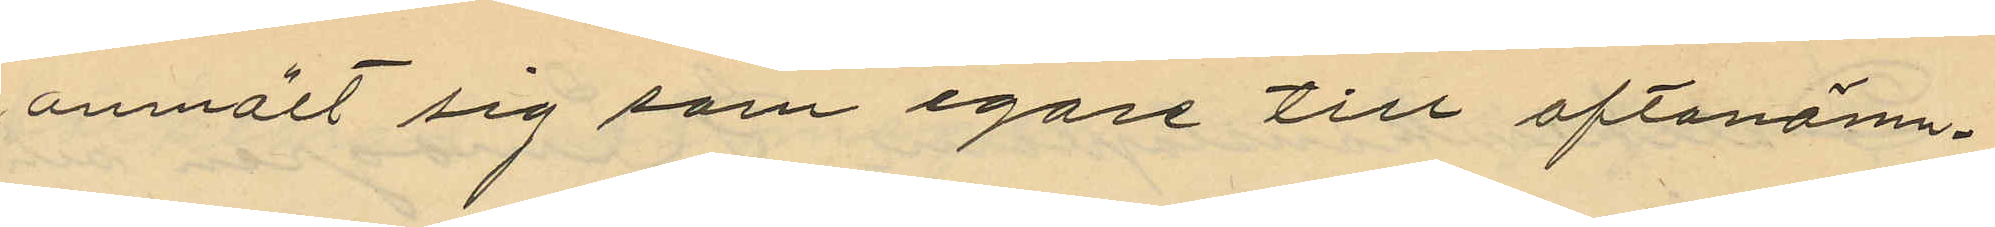anmält sig som egare till oftanämn¬
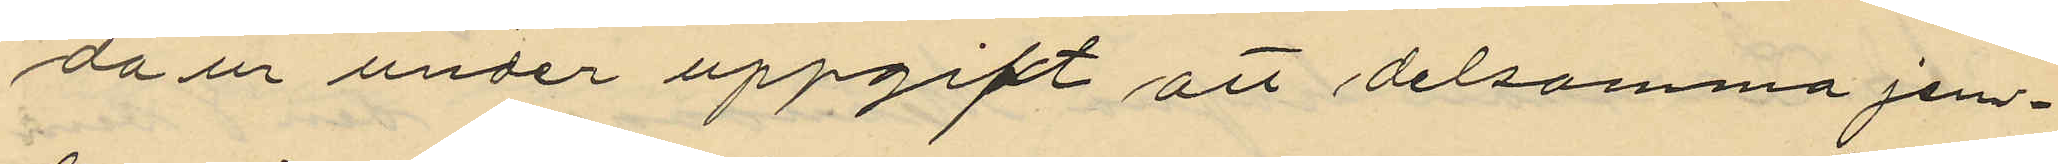da ur under uppgift att delsamma jem¬
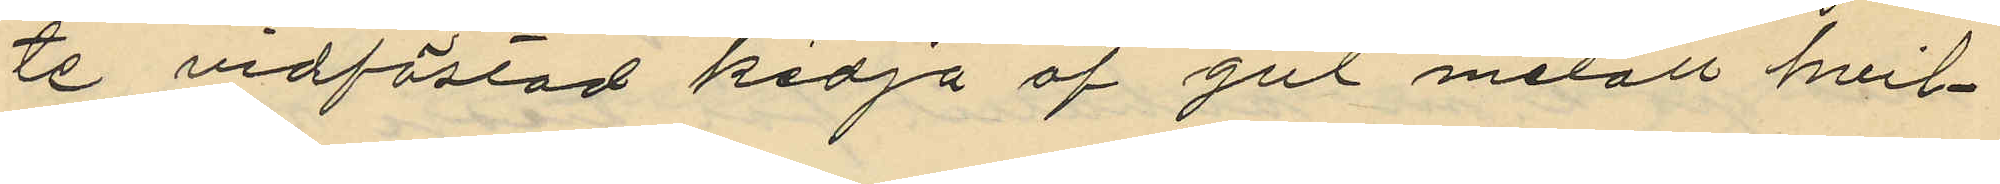te vidfästad kedja af gul metall hvil¬
